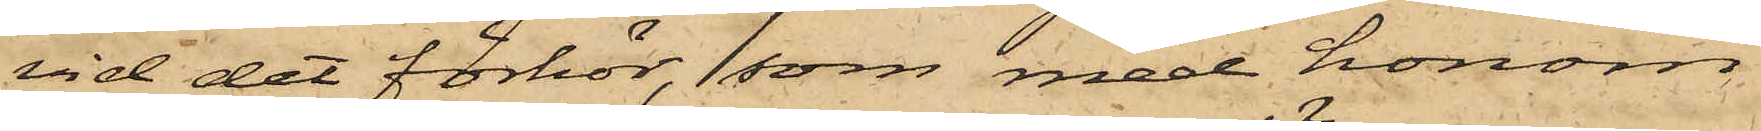vid det förhör, som med honom
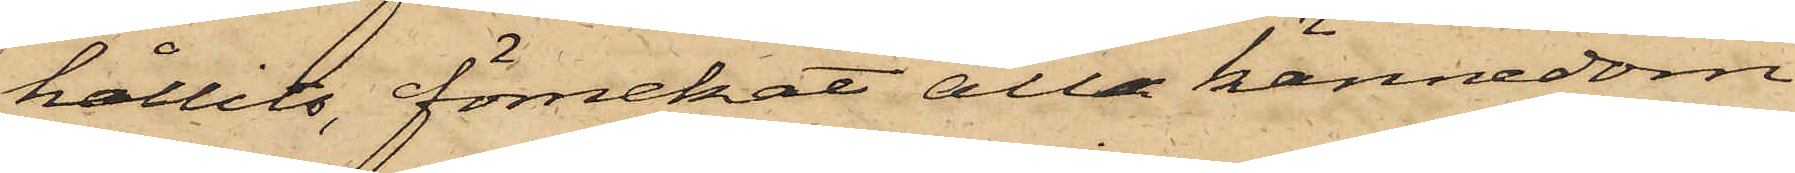hållits, förnekat all kännedom
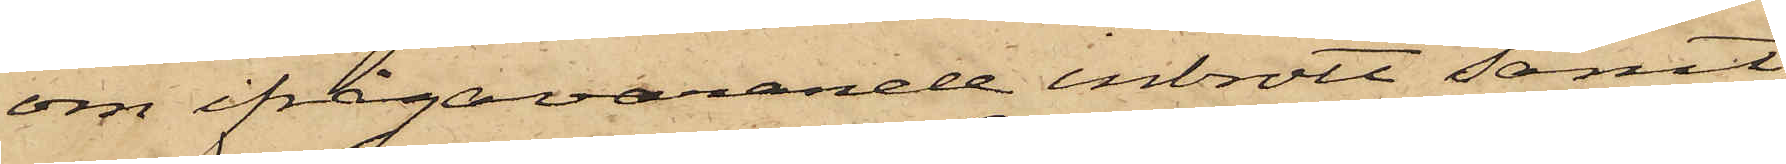om ifrågavarande inbrott samt
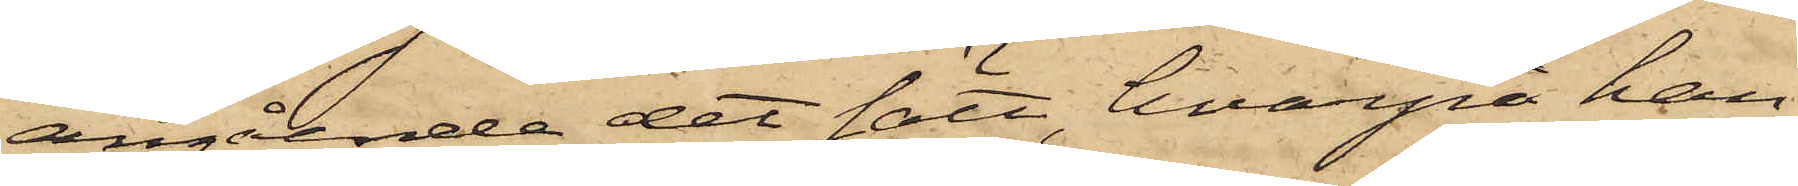angående det sätt, hvarpå han
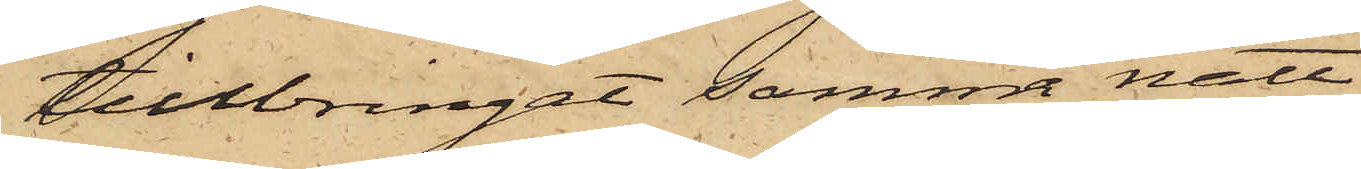tillbringat samma natt
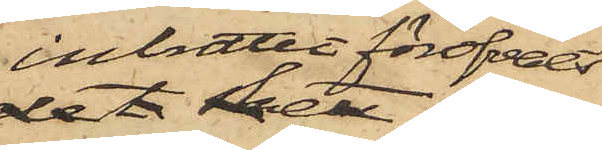inbrottet föröfvats
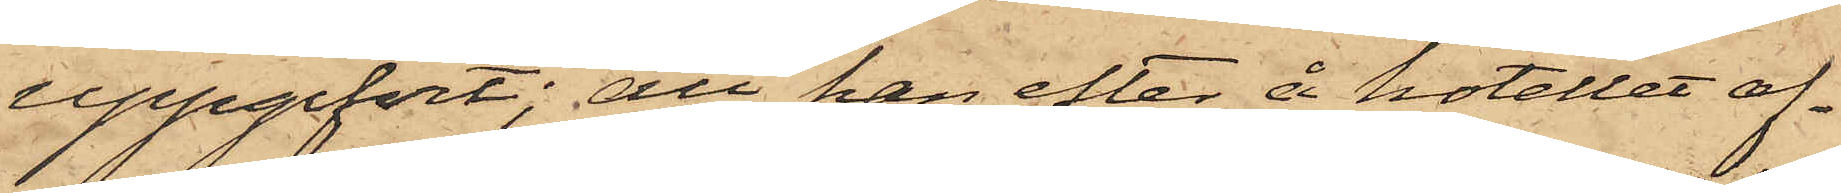uppgifvit; att han efter å hotellet af¬
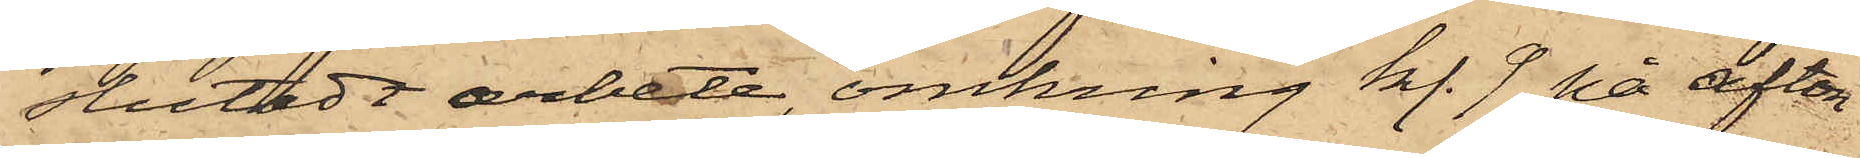slutadt arbete, omkring kl. 9 på afton
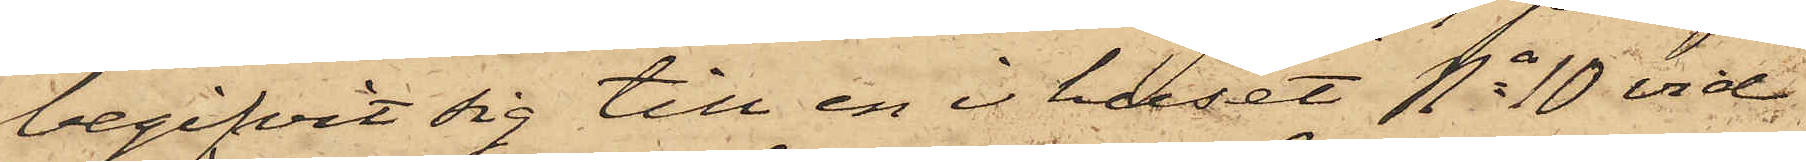begifvit sig till en i huset No 10 vid
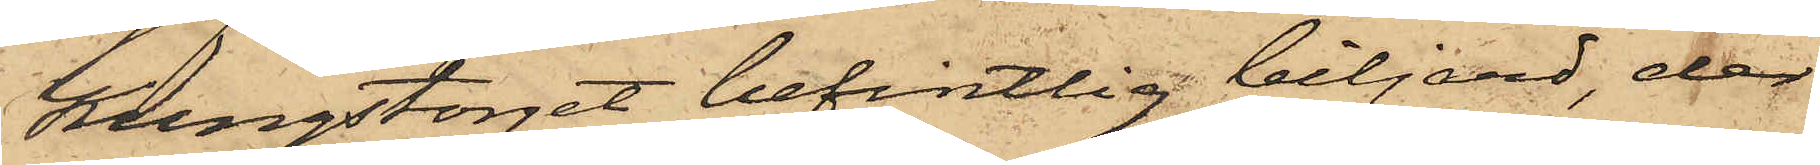Kungstorget befintlig biljard, der
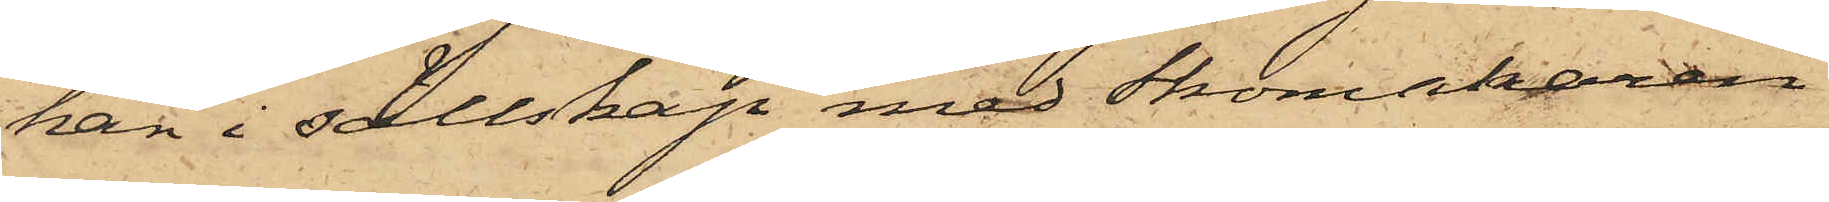han i sällskap med Skomakaren
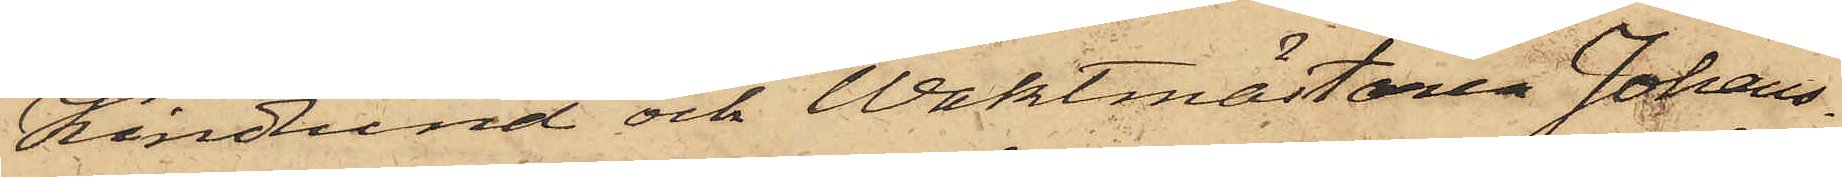Kindlund och Waktmästaren Johans¬
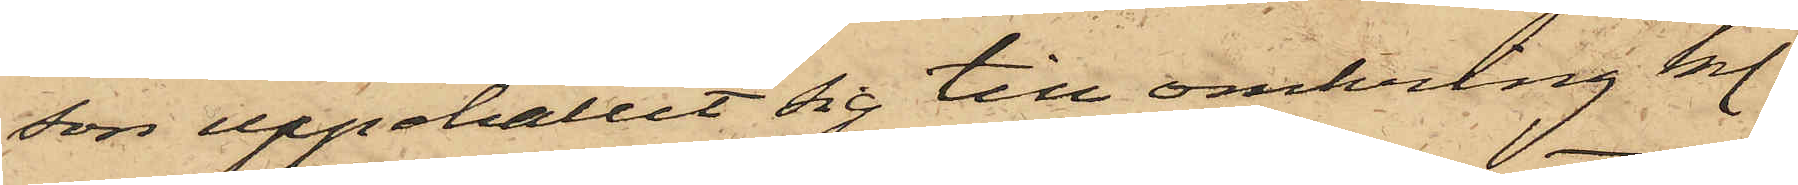son uppehållit sig till omkring kl.
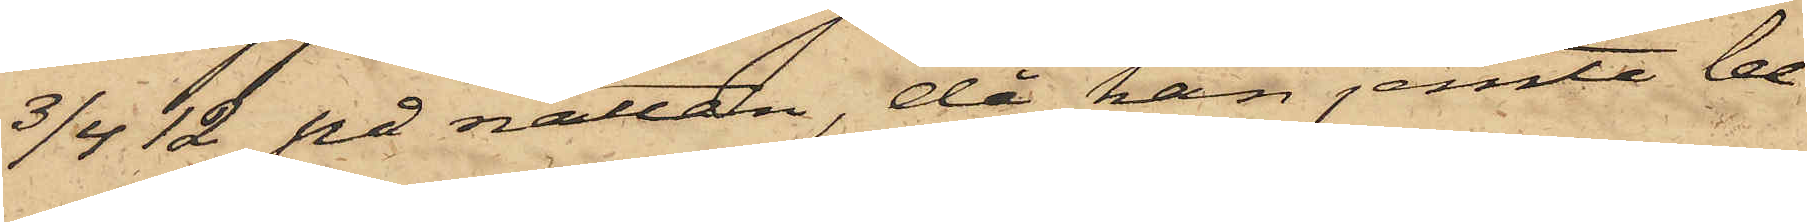3/4 12 på natten, då han jemte be¬
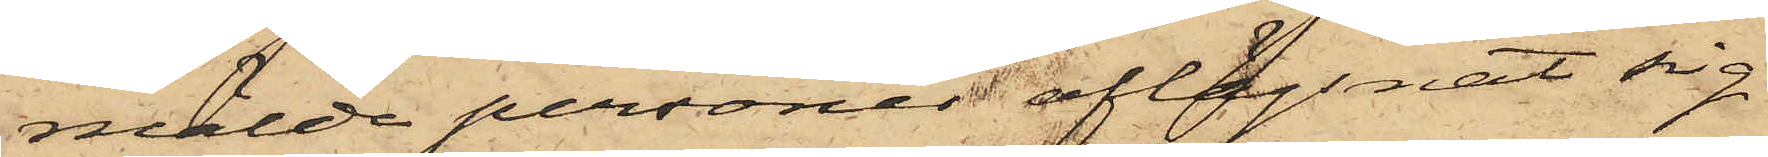mälde personer aflägsnat sig
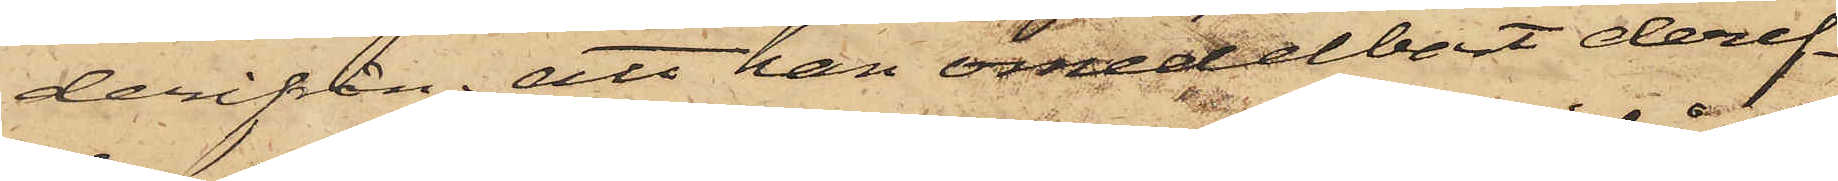derifrån; att han omedelbart deref¬
